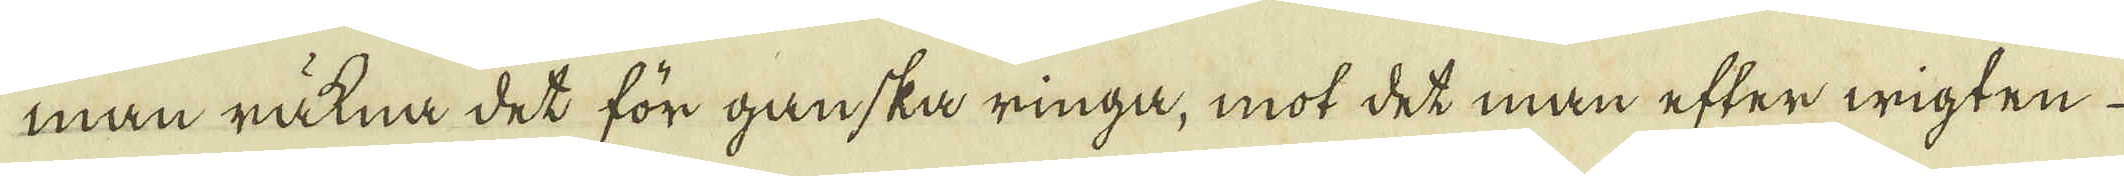man räkna det för ganska ringa, mot det man efter wigten
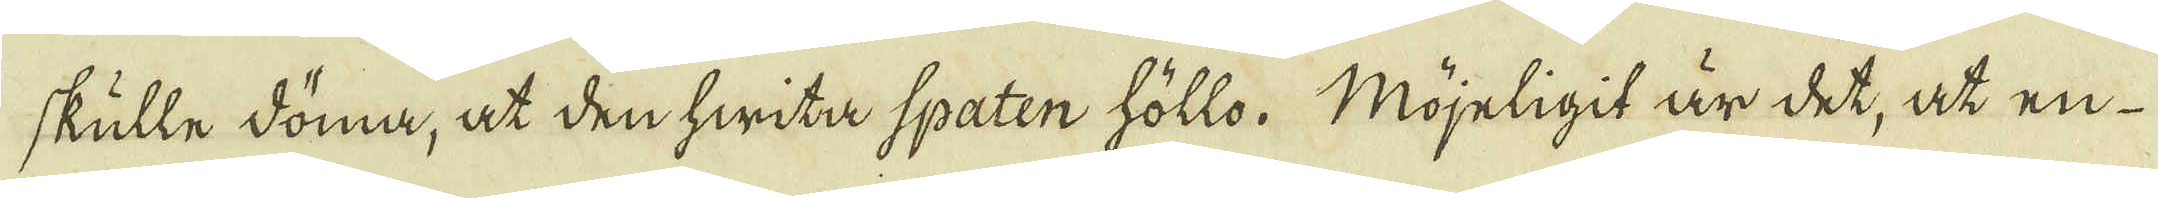skulle döma, at den hwita spaten höllo. Möjeligit är det, at en
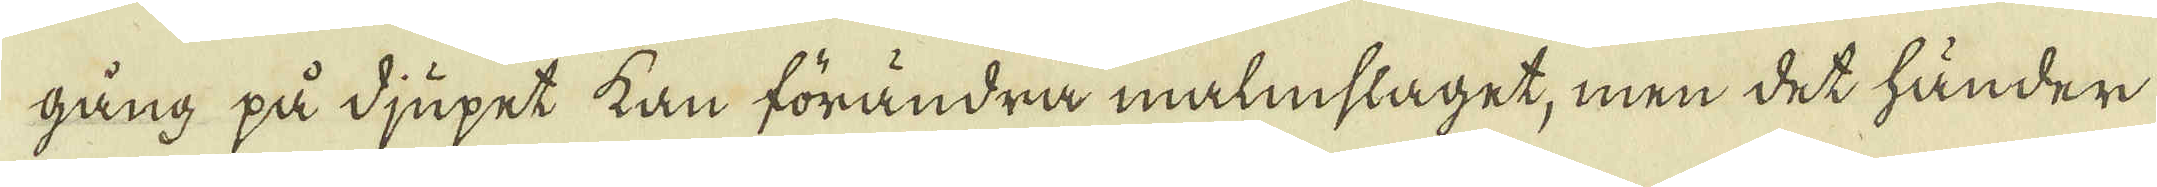gång på djupet kan förändra malmslaget, men det händer
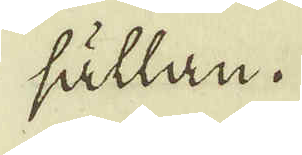sällan.
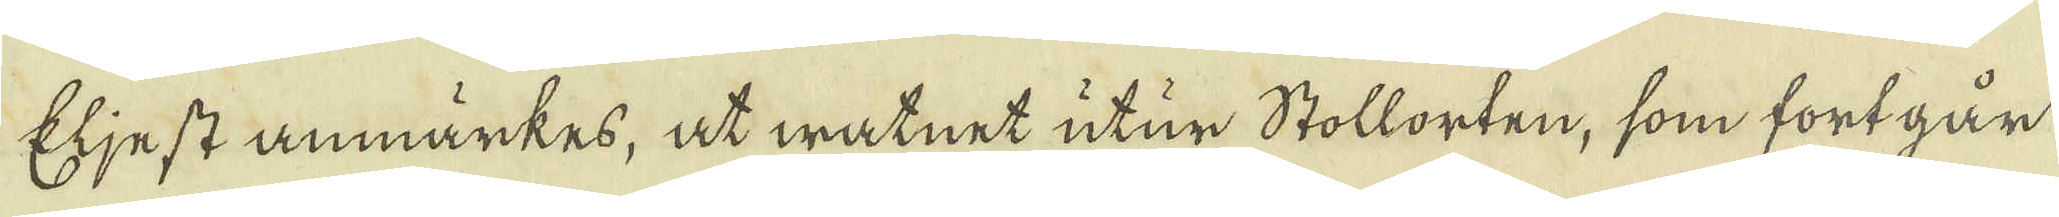Eljest anmärkes, at watnet utur stollorten, som fortgår
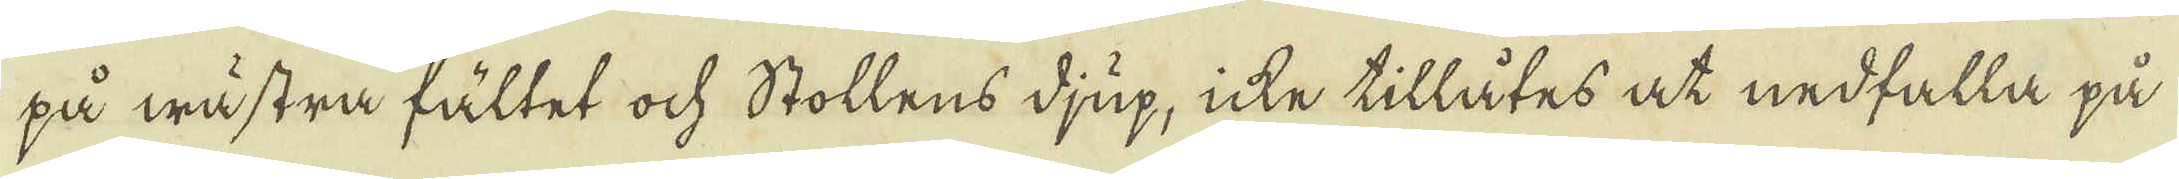på wästra fältet ock Stollens djup, icke tillåtes at nedfalla på
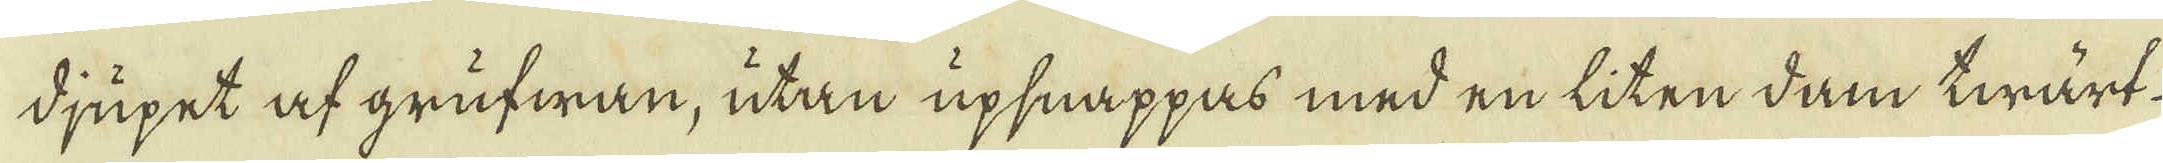djupet af grufwan, utan upsnappas med en liten dam twärt-
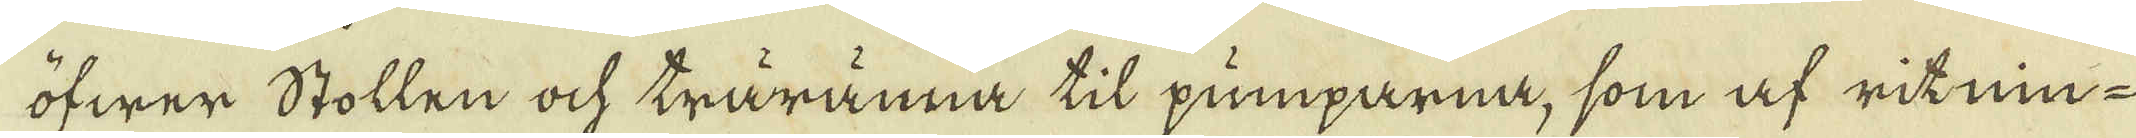öfwer Stollen ock träränna til pumparna, som af ritnin-
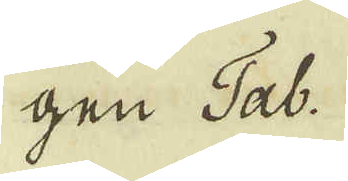gen Tab.
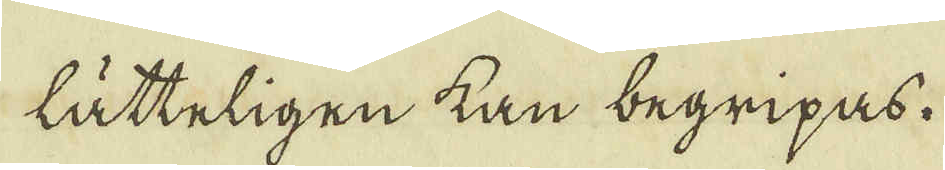lätteligen kan begripas.
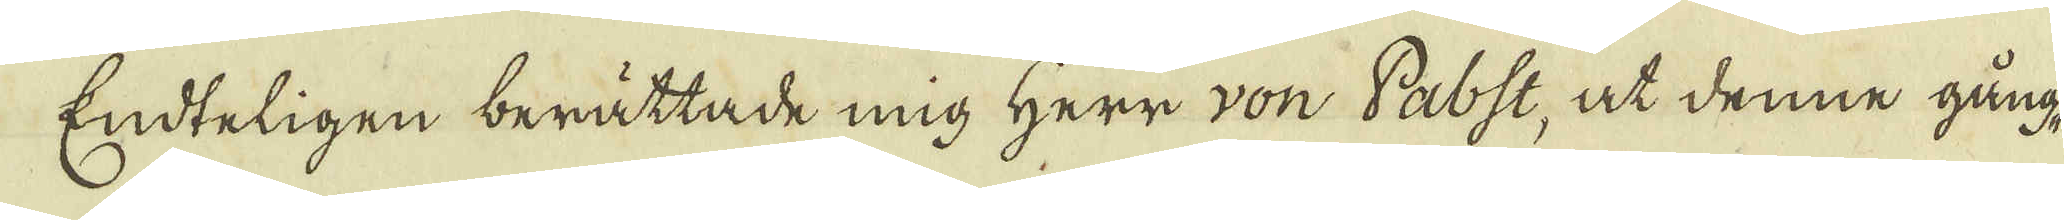Endteligen berättade mig Herr von Pabst, at denne gång-
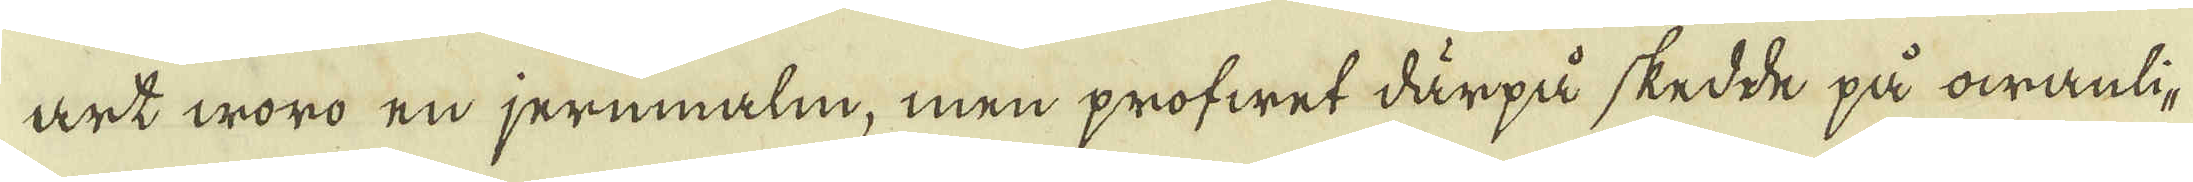art woro en jernmalm, men profwet därpå skedde på owanli-
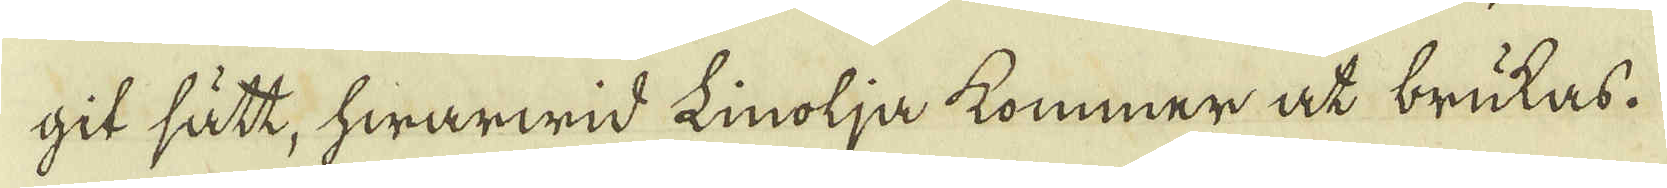git sätt, hwarwid Linolja kommer at brukas.
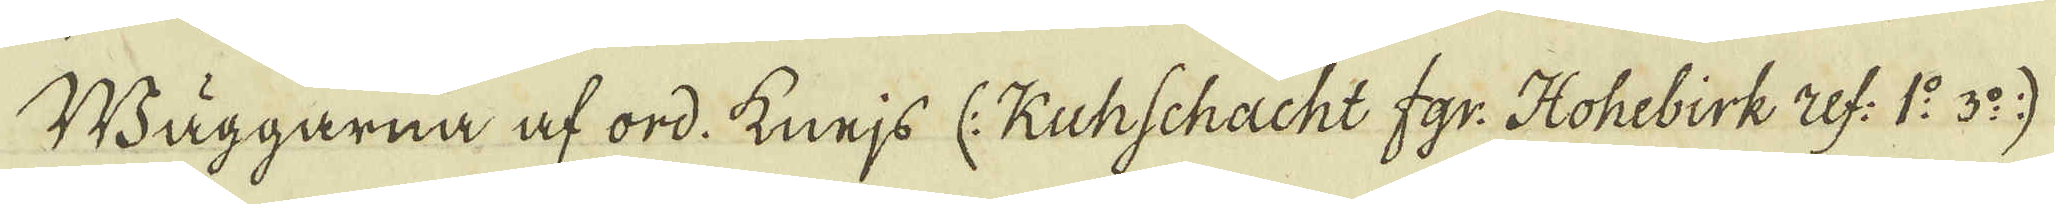Wäggarna af ord. knejs (: Kuhschacht fgr: Hohebirk ref: 1:o 3:o)
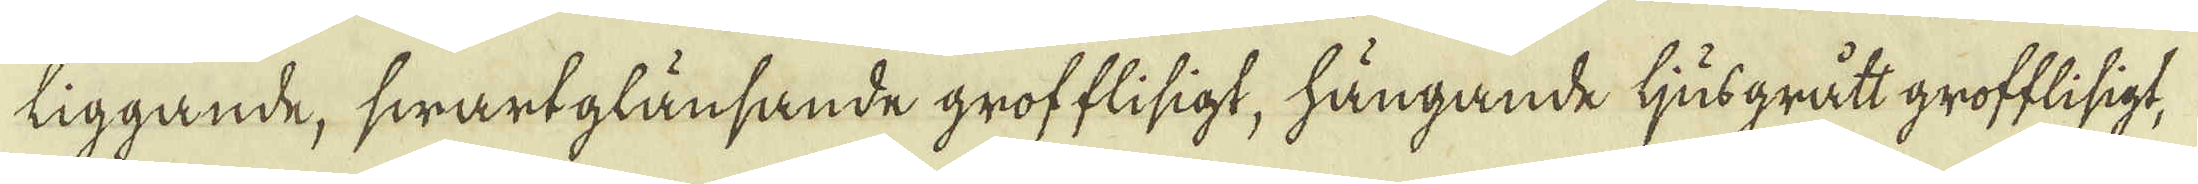liggande, swartglänsande grofflisigt, hängande ljusgrått grofflisigt,
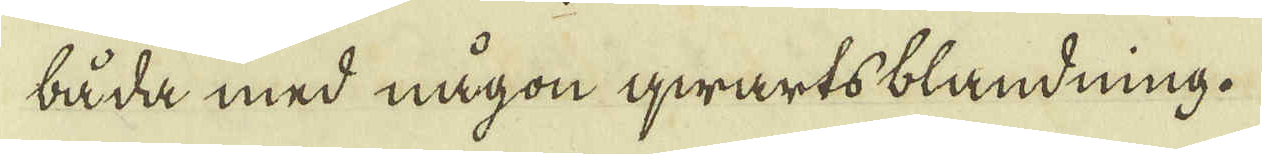båda med någon qwartsblandning.
